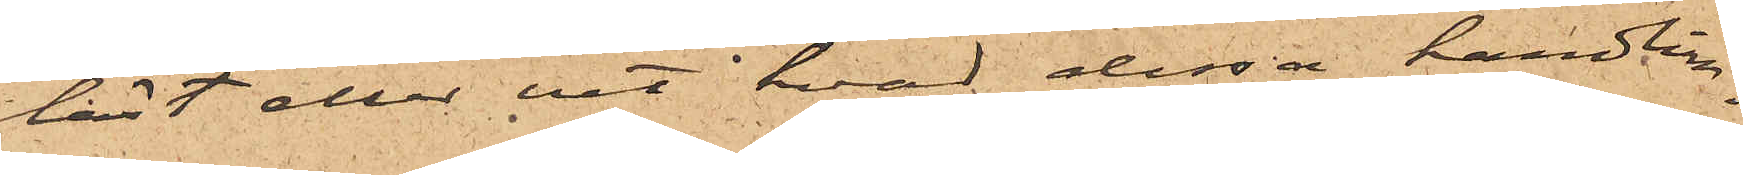läst eller vet hvad dessa handlin¬
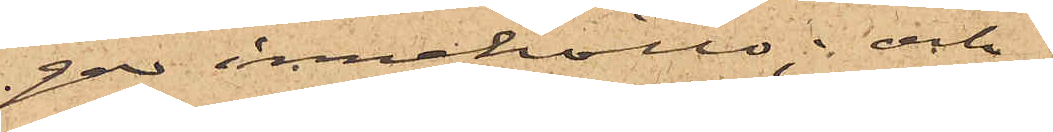gar innehöllo; och 
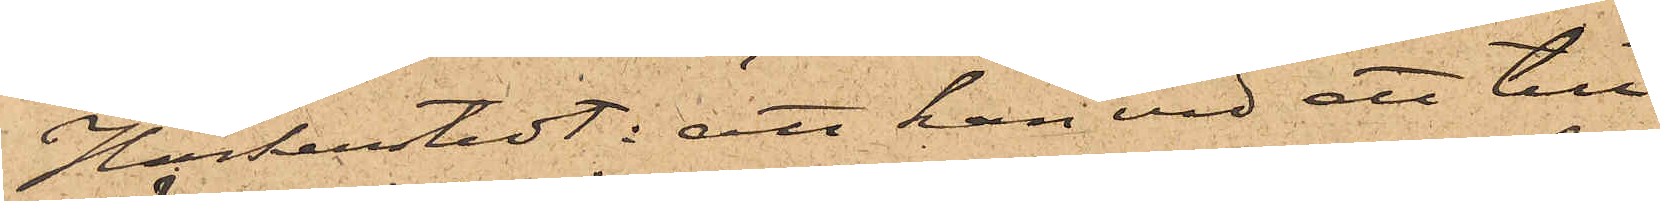Höckenstedt; att han vid att till¬
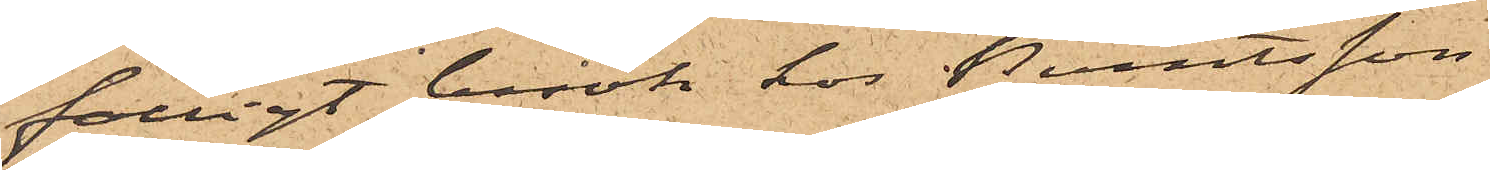fälligt besök hos Berntsson
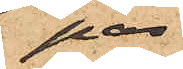på
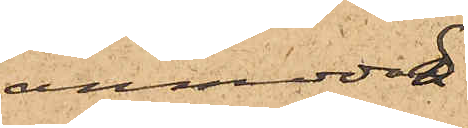anmodan
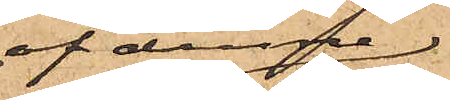af denne
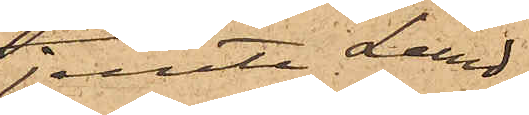jemte Lund¬
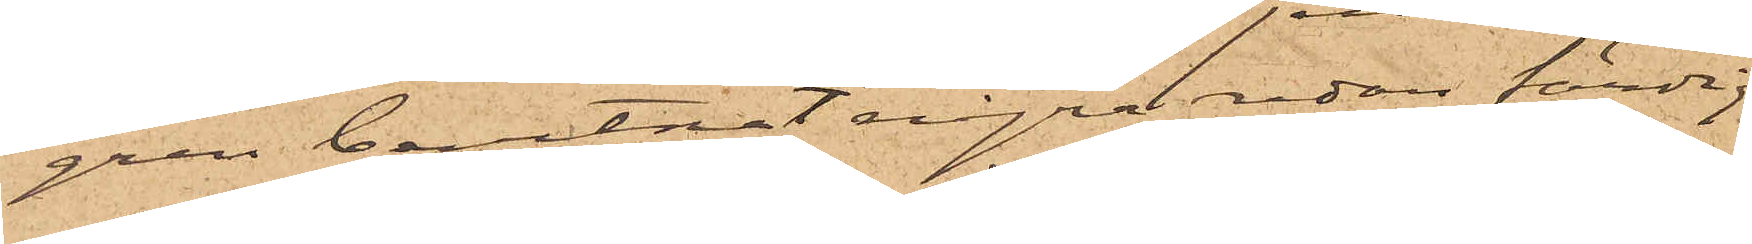gren bevitnat några redan färdig¬
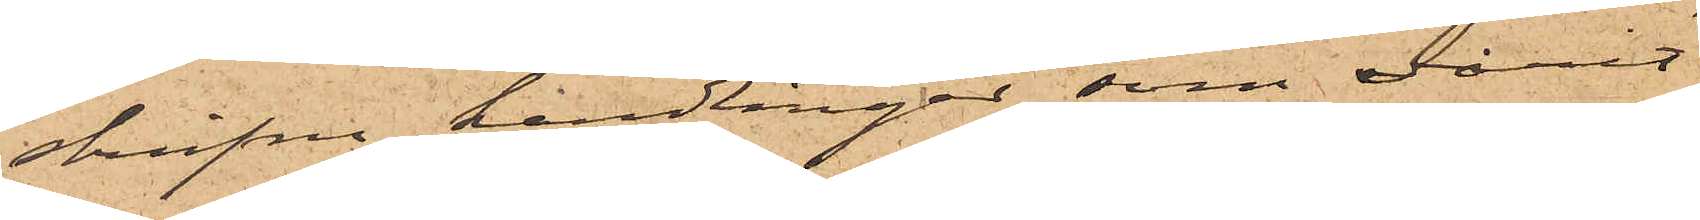skrifna handlingar, som varit
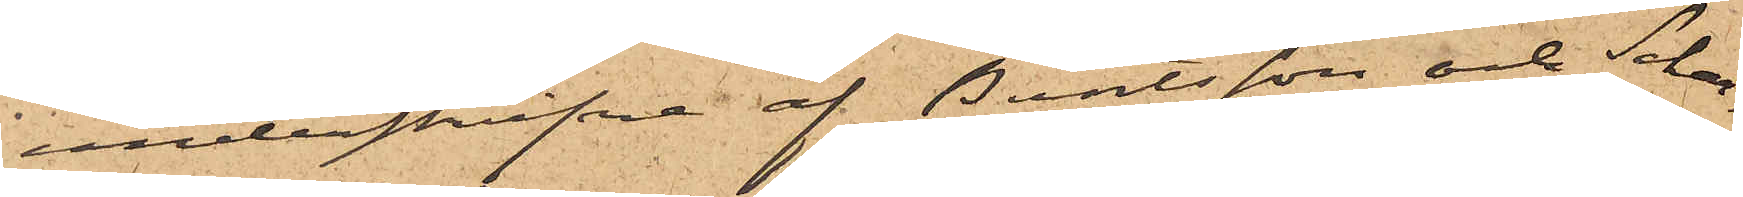underskrifvna af Berntsson och Schar¬
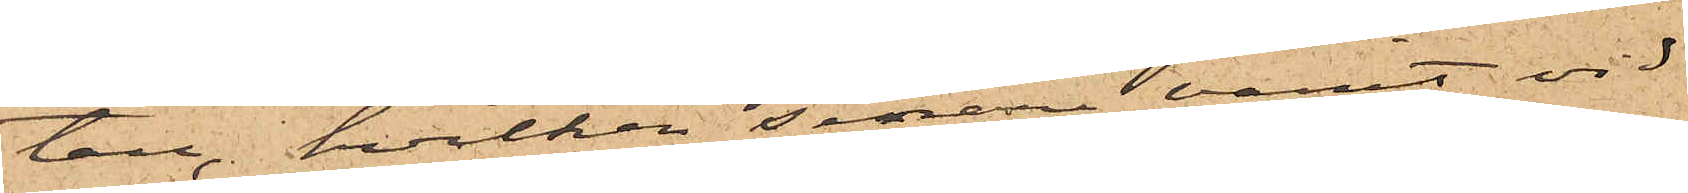tau, hvilken senare varit vid
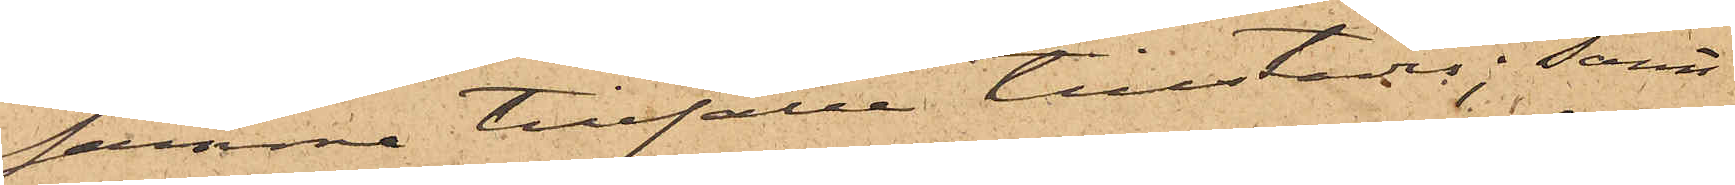samma tillfälle tillstädes; samt
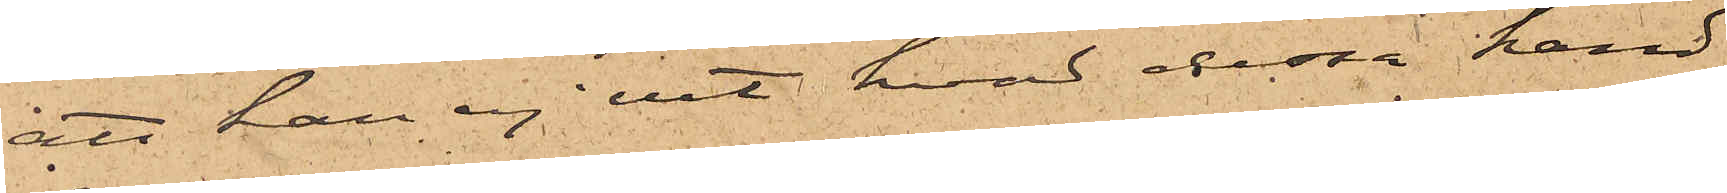att han ej vet hvad dessa hand¬
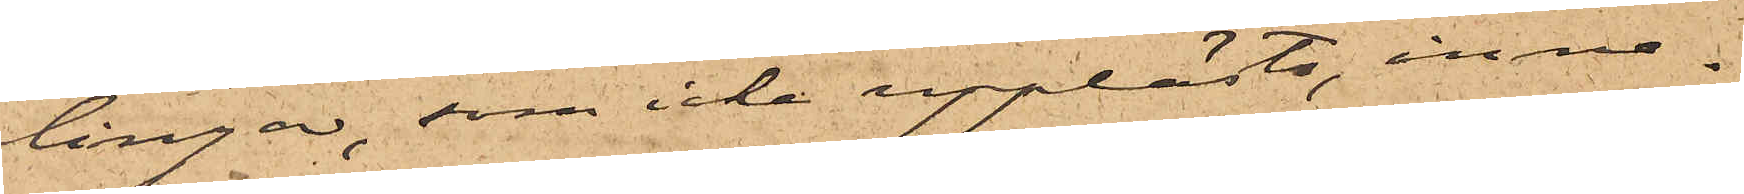lingar, som icke upplästs, inne¬
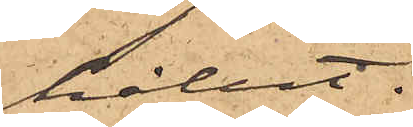hållit.
